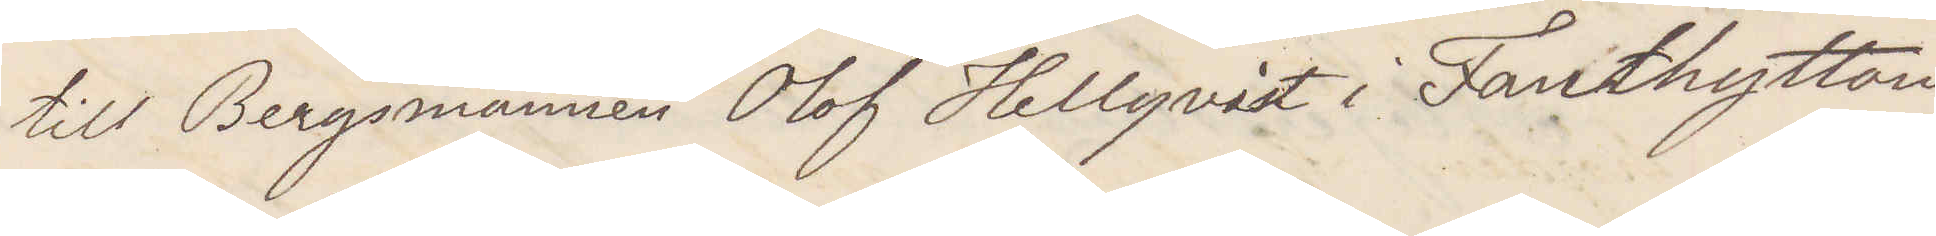till Bergsmannen Olof Hellqvist i Fanthyttan
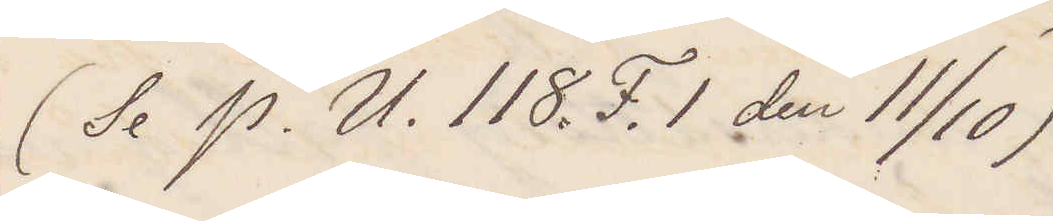(Se P. U. 118. F. 1 den 11/10)
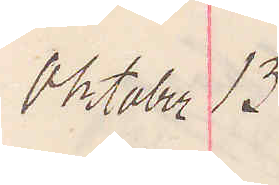Oktober 13
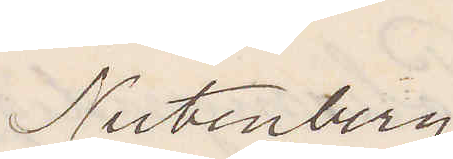Nutenberg
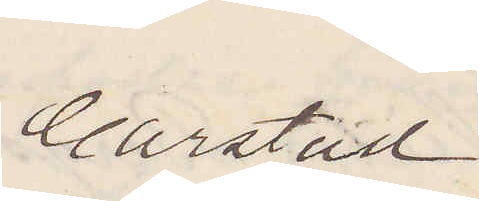Carlstad.
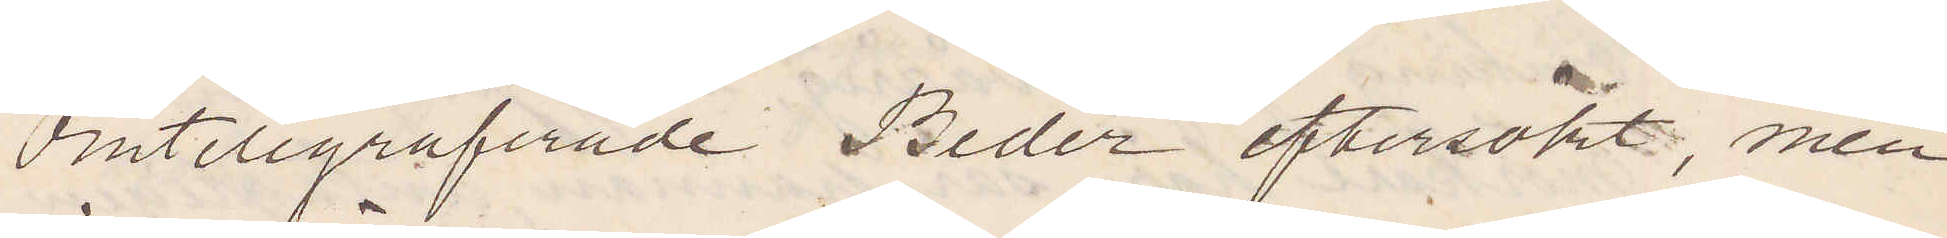Omtelegraferade Beder eftersökt, men
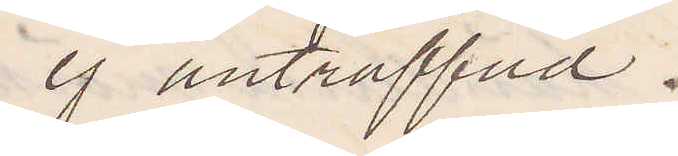ej anträffad.
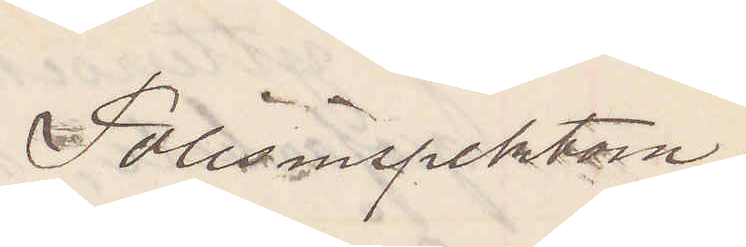Polisinspektorn.
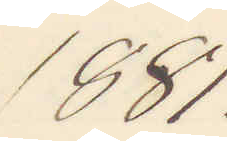1881.
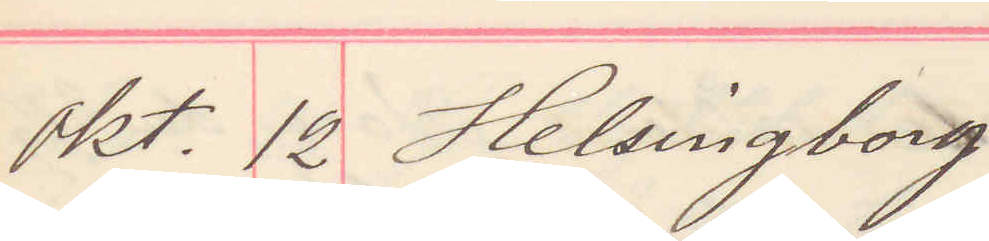Okt. 12 Helsingborg
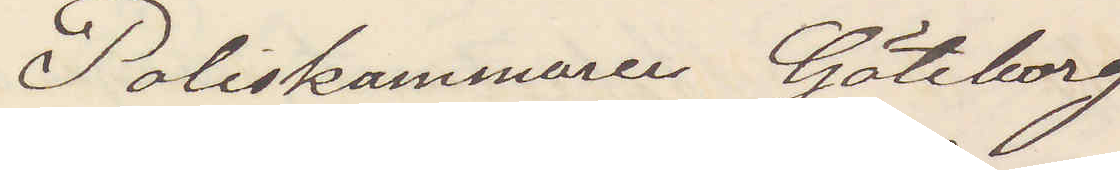Poliskammaren Göteborg
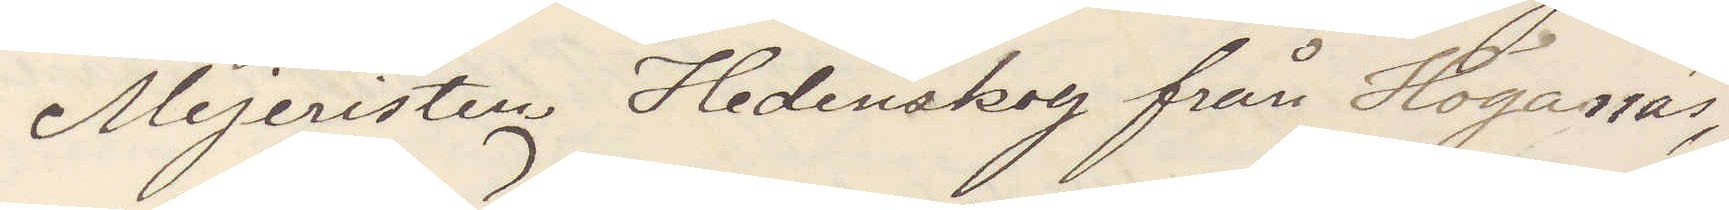Mejeristen Hedenskog från Höganäs
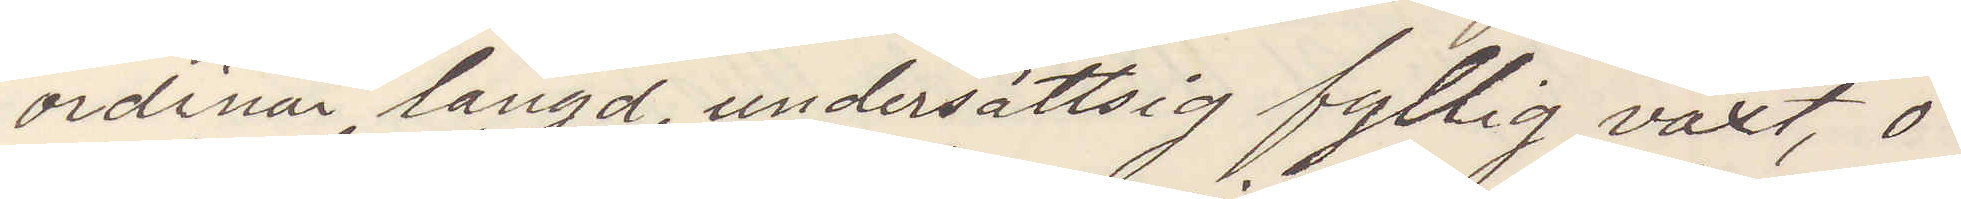ordinär längd, undersättsig fyllig växt, o¬
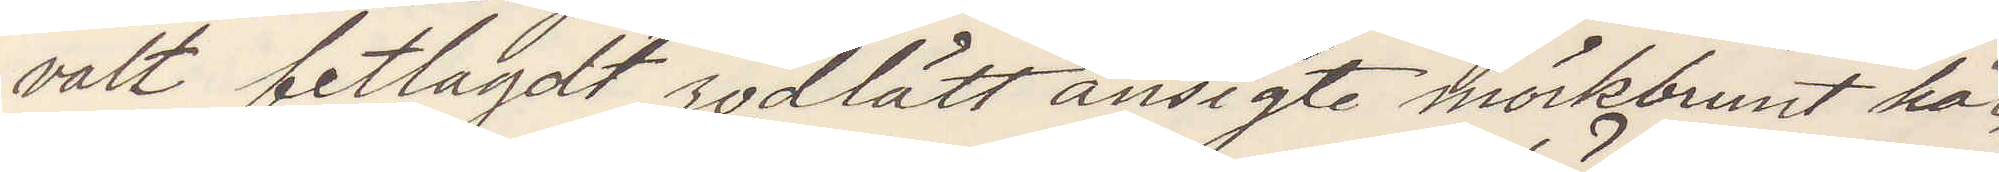valt fetlagdt rödlätt ansigte mörkbrunt hår,
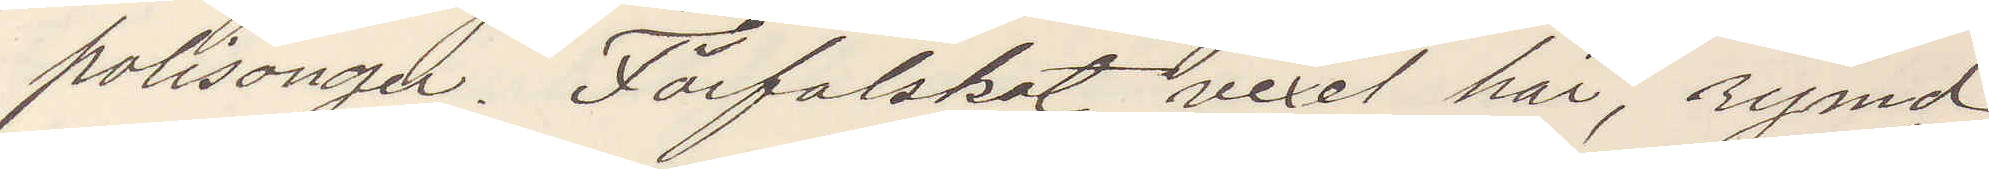polisonger. Förfalskat vexel här, rymd,
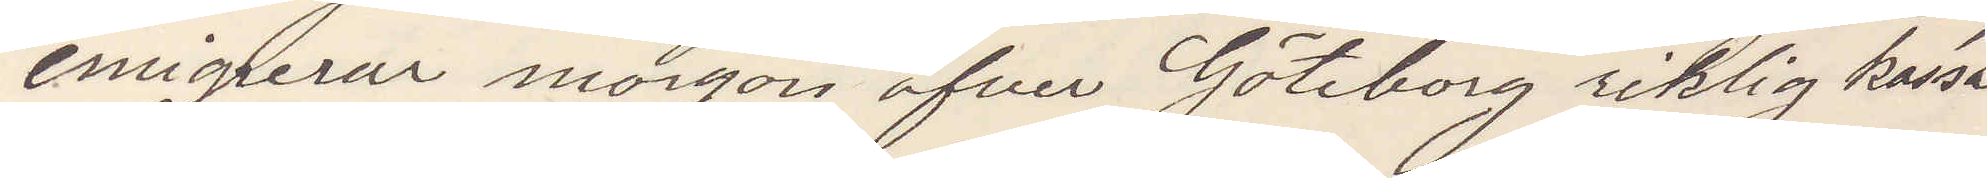emigrerar morgon öfver Göteborg riklig kassa
